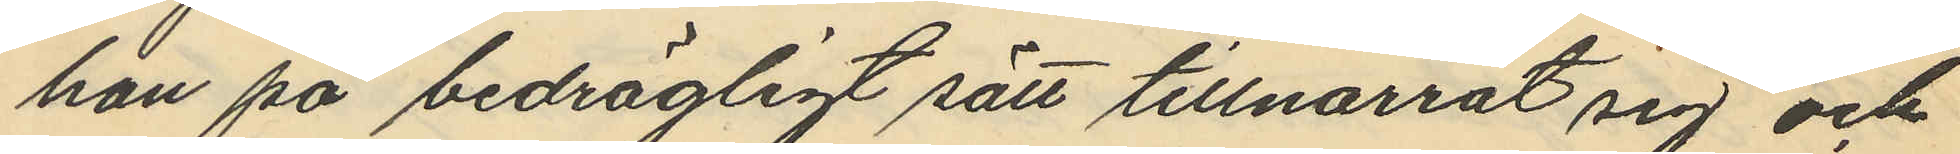han på bedrägligt sätt tillnarrat sig och
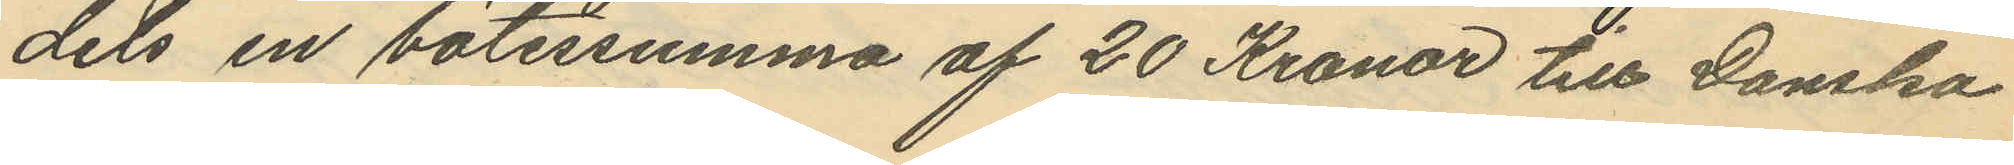dels en bötessumma af 20 Kronor till Danska
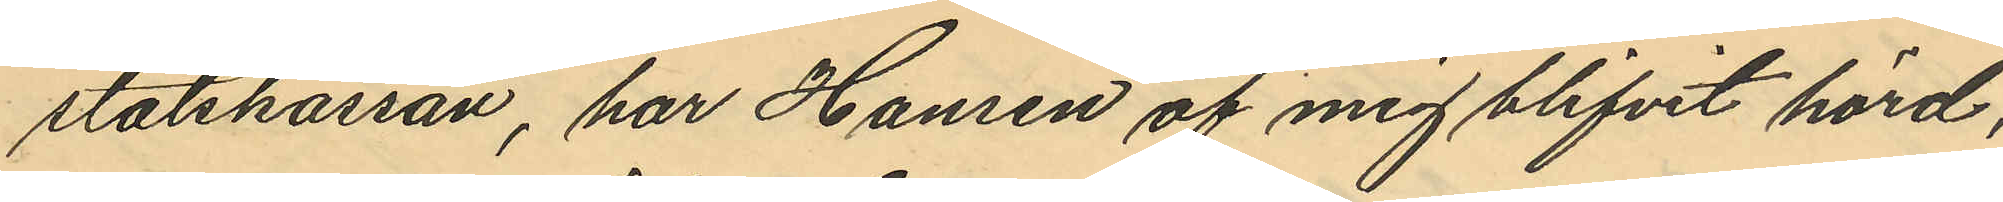statskassan, har Hansen af mig blifvit hörd,
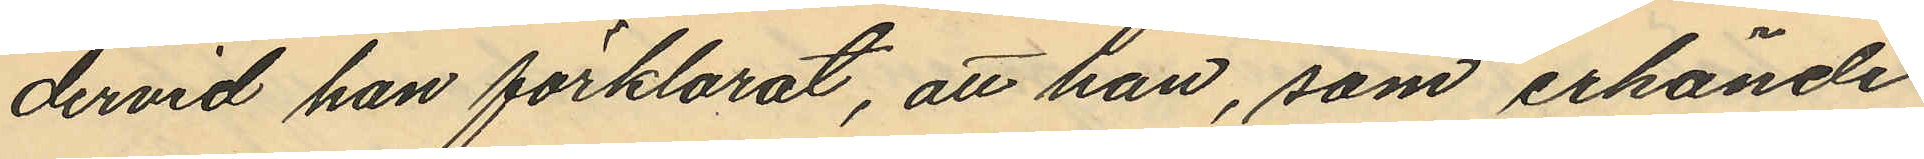dervid han förklarat, att han, som erkände
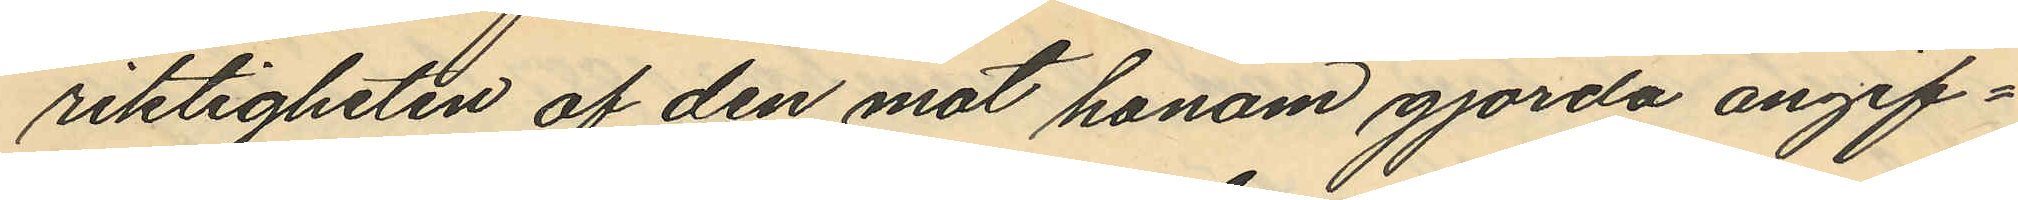riktigheten af den mot honom gjorda angif¬
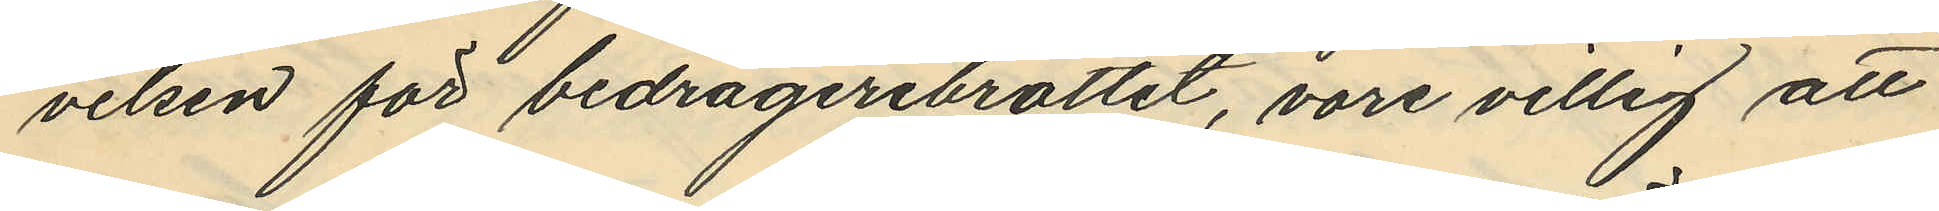velsen för bedrägeribrottet, vore villig att
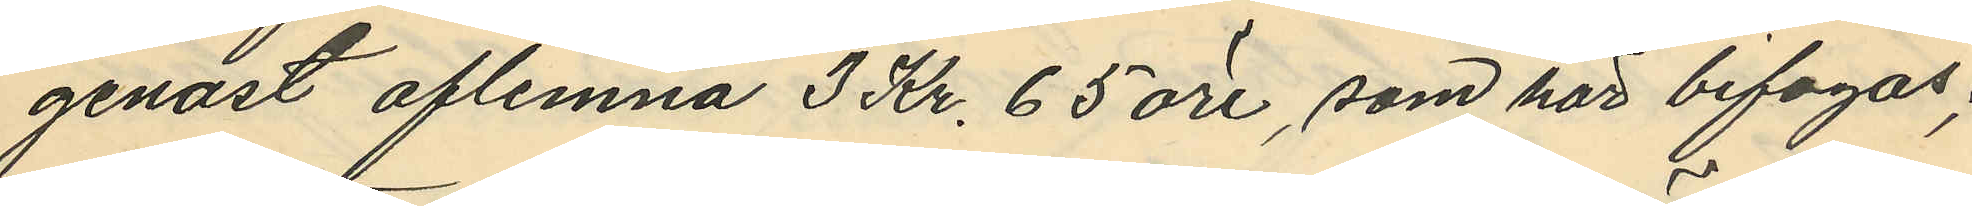genast aflemna 3 Kr. 65 öre, som här bifogas,
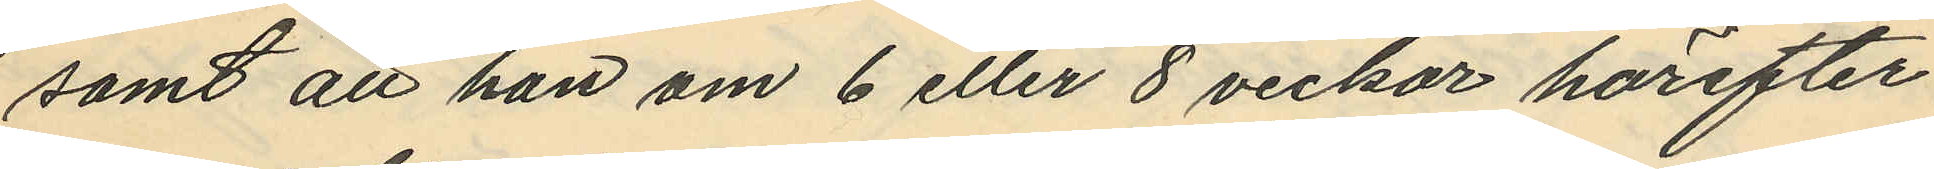samt att han om 6 eller 8 veckor härefter
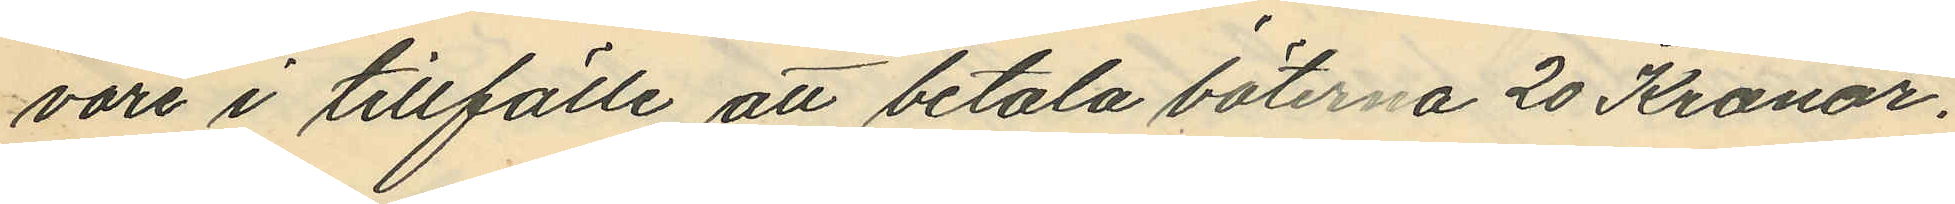vore i tillfälle att betala böterna 20 Kronor.
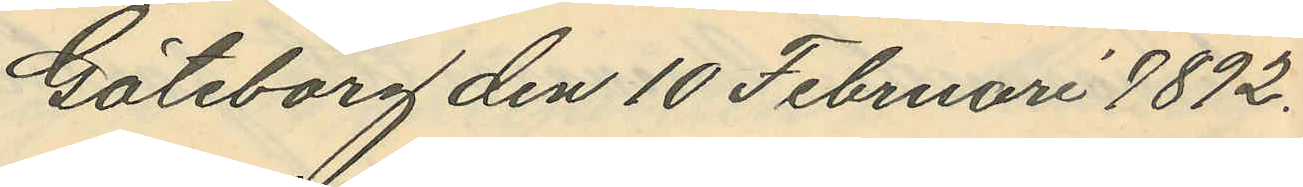Göteborg den 10 Februari 1892.
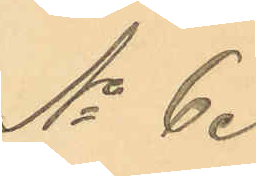No 6.
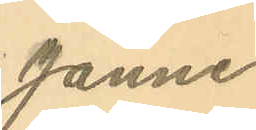Janne
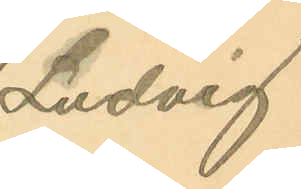Ludvig
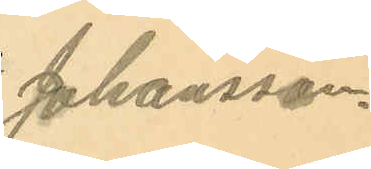Johansson.
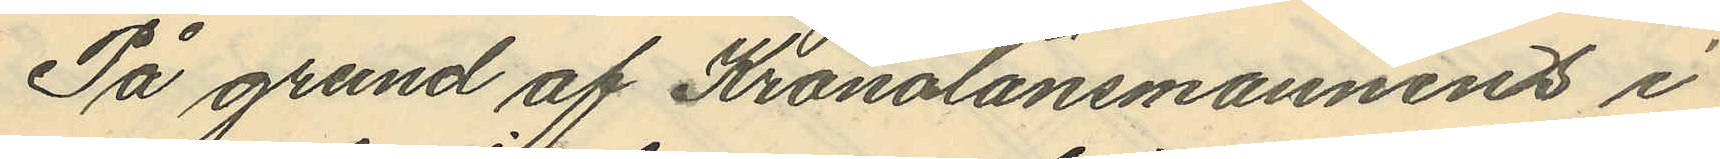På grund af Kronolänsmannens i
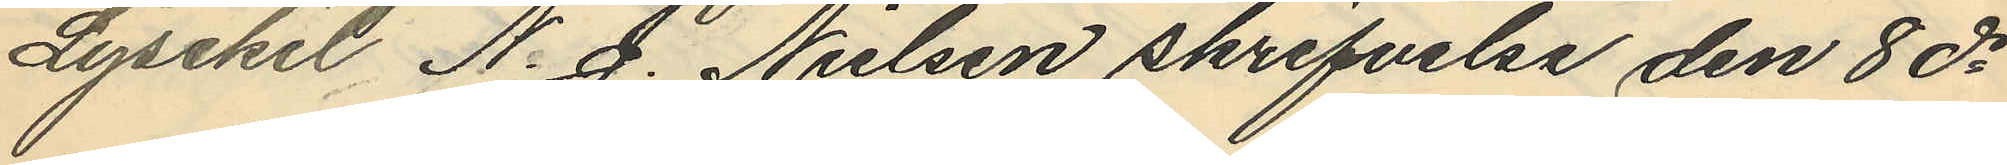Lysekil N. J. Nielsen skrifvelse den 8 ds
